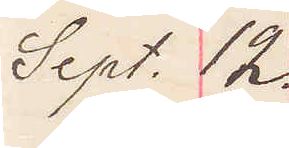Sept. 12.
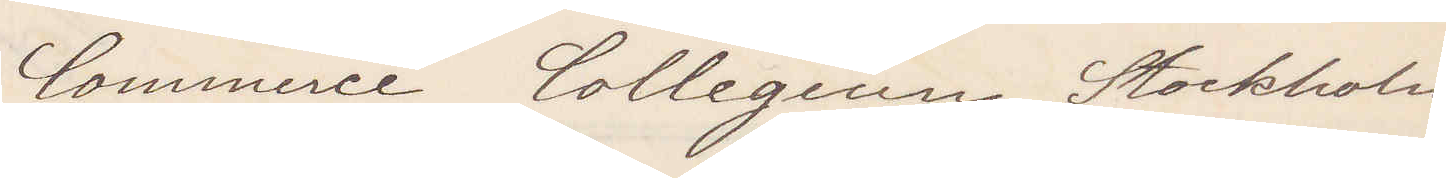Commerce Collegium, Stockholm
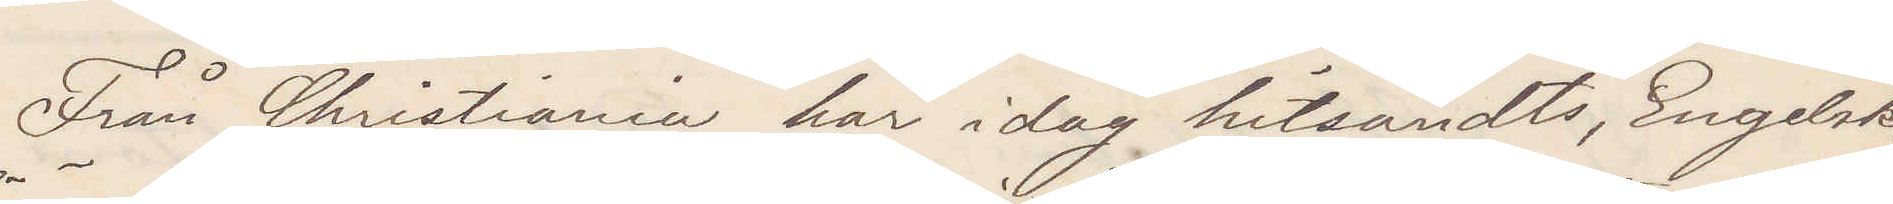Från Christiania har idag hitsändts Engelske
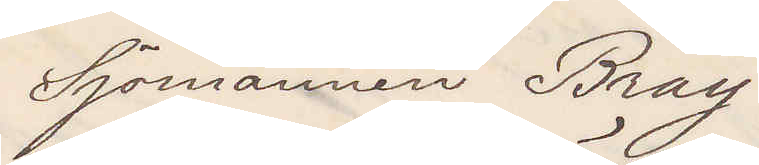Sjömannen Bray
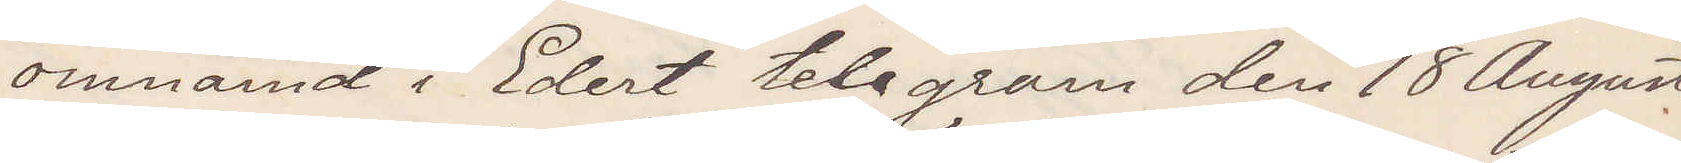omnämnd i Edert telegram den 18 August
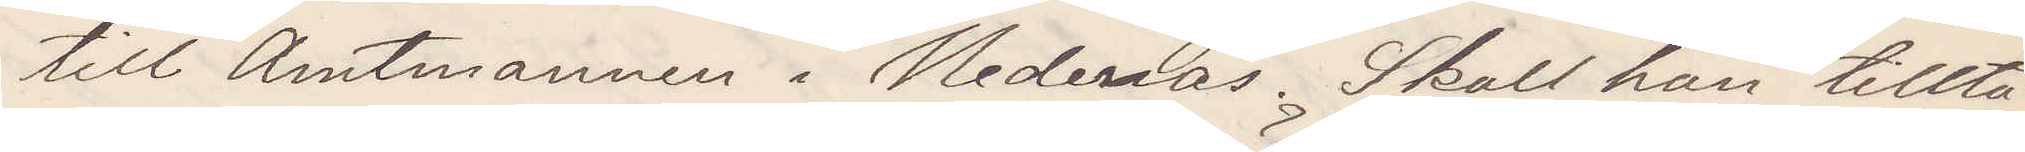till Amtmannen i Hedenäs. Skall han tillta¬
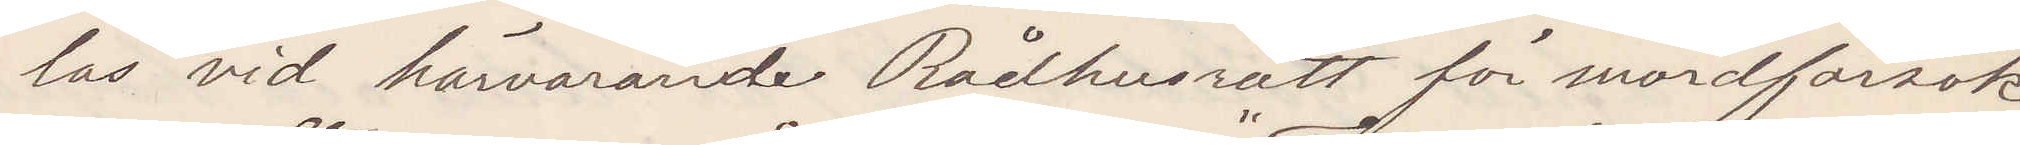las vid härvarande Rådhusrätt för mordförsök
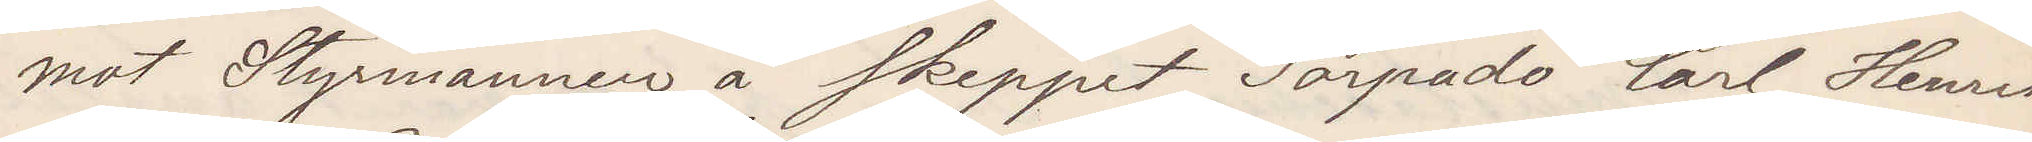mot Styrmannen å skeppet "Torpado" Carl Henrik
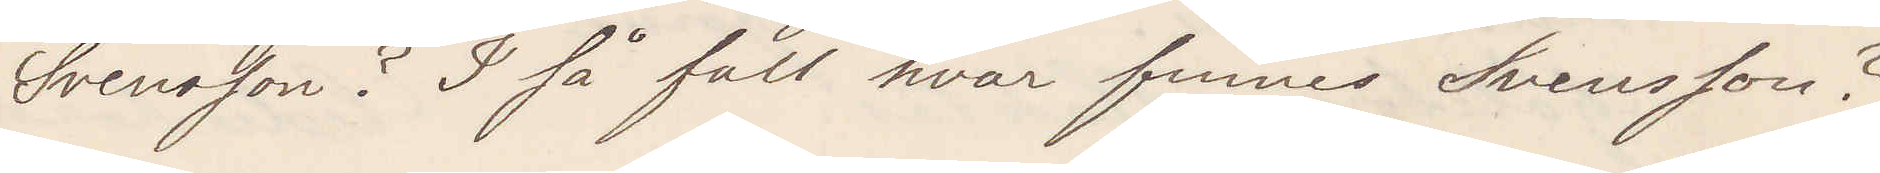Svensson? I så fall hvar finnes Svensson?
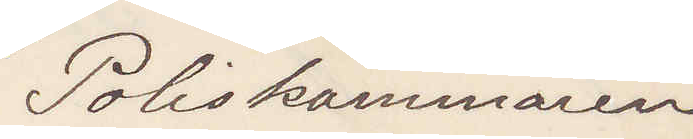Poliskammaren
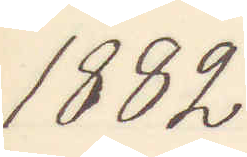1882.
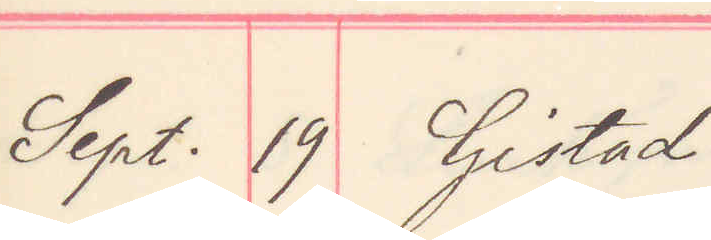Sept. 19 Gistad
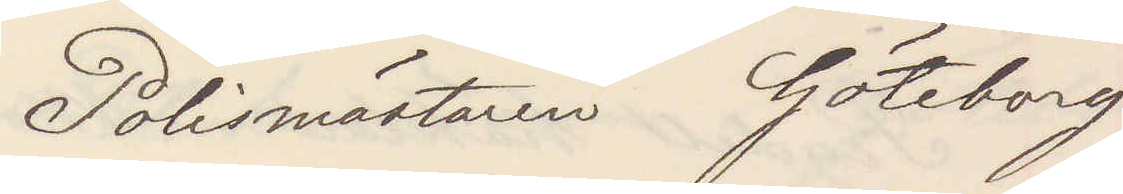Polismästaren Göteborg
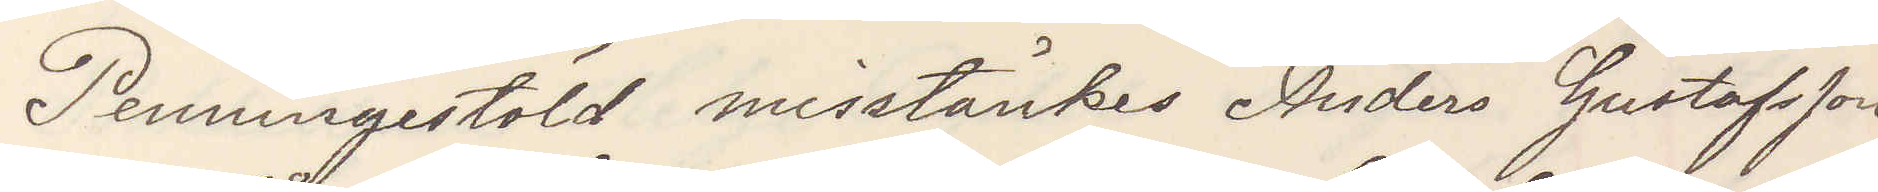Penningstöld misstänkes Anders Gustafsson
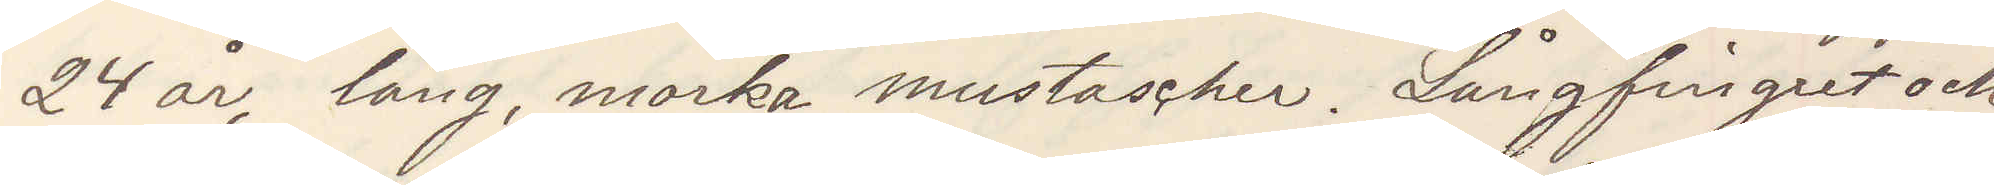24 år, lång, mörka mustascher. Långfingret och
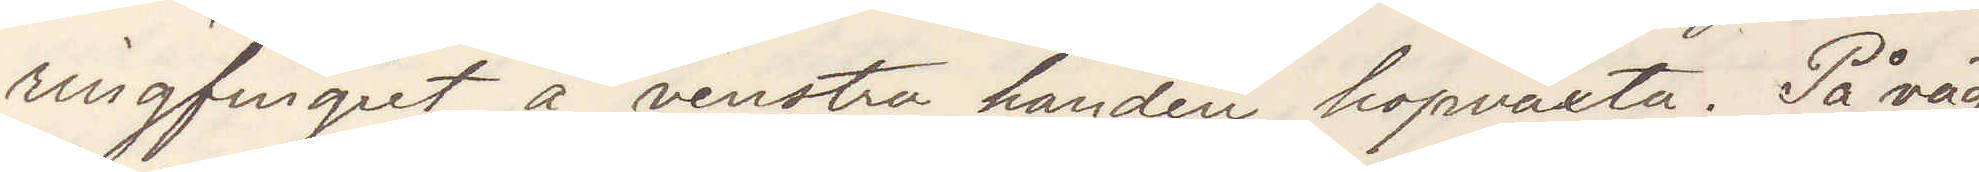ringfingret å venstra handen hopväxta. På väg
